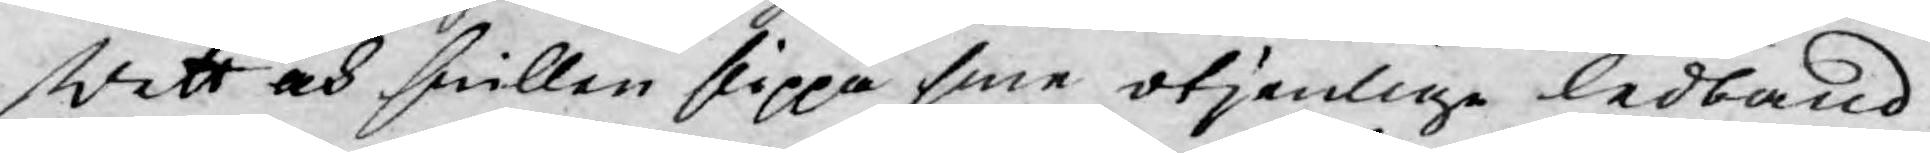wett och snillen slippa sine otjenlige ledband,
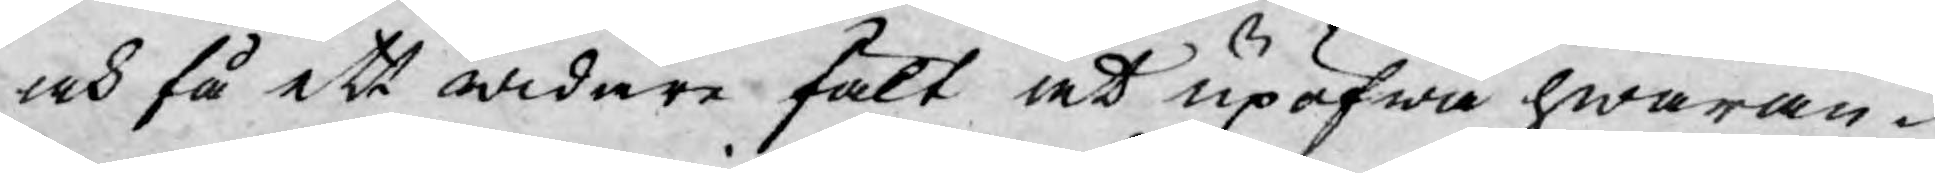och få ett widare fält at upöfwa hwaran¬
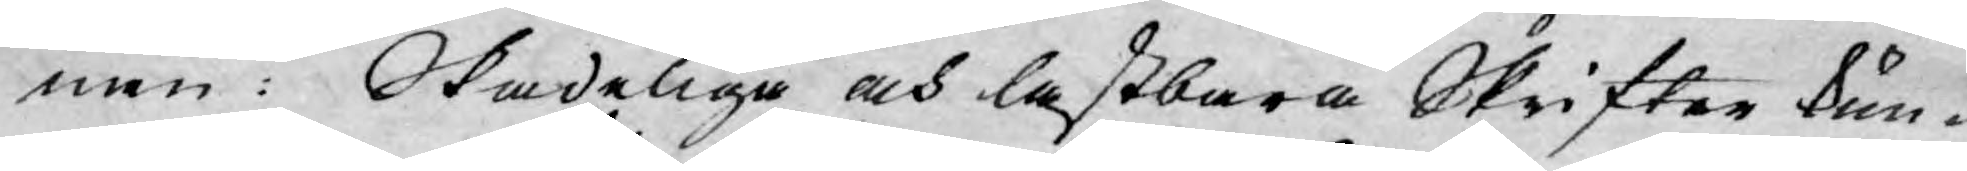nan: Skadeliga och lastbara Skrifter kun¬
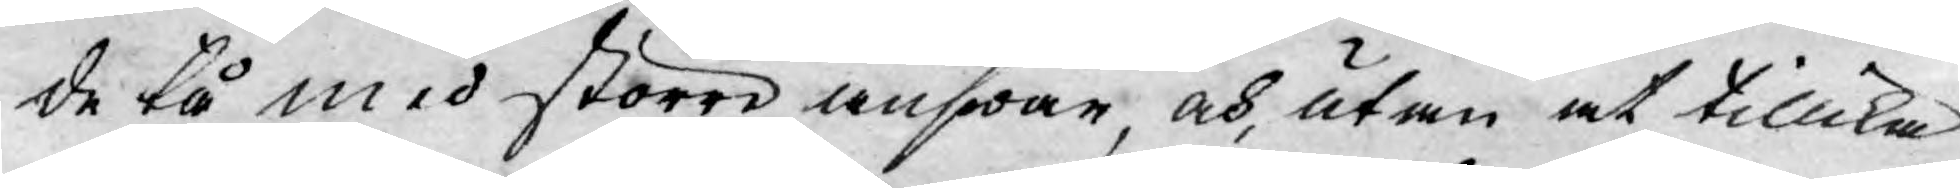de tå med större answar, och, utan at tillika
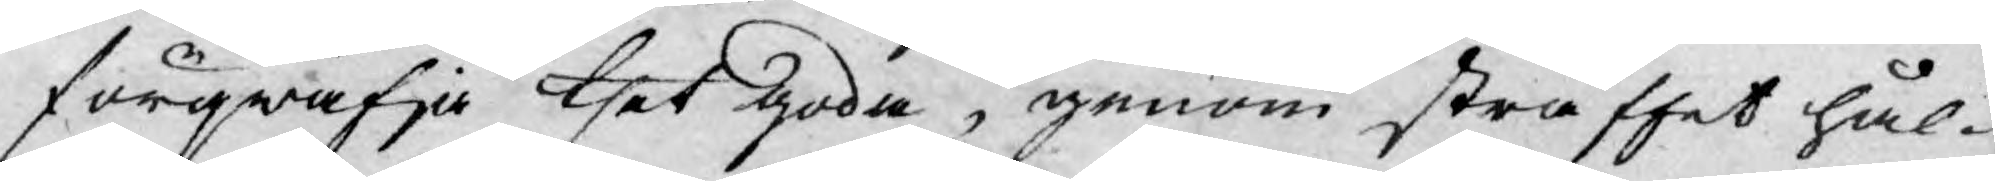förqwäfja thet goda, genom straffet hål¬
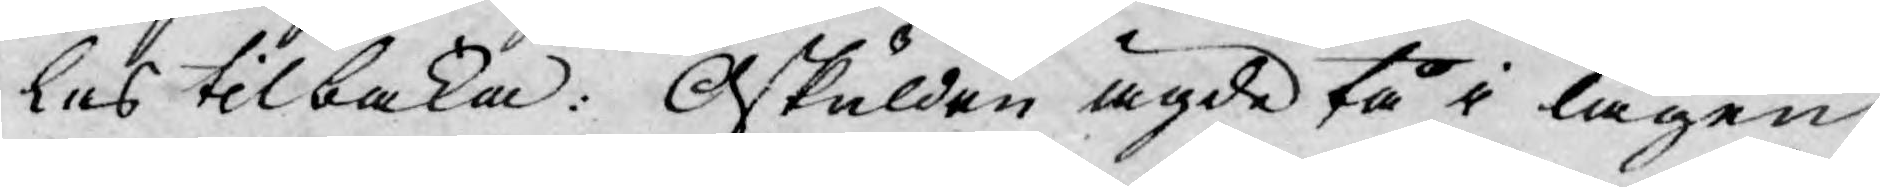les tilbaka: Oskulden ägde tå i lagen
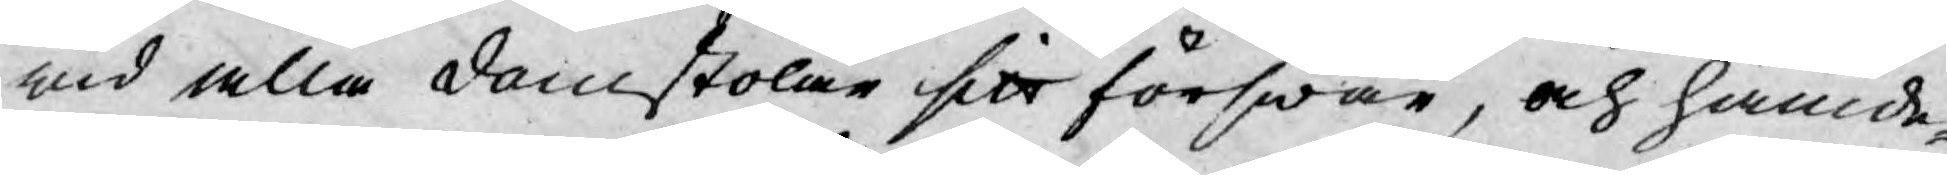wid alla domstolar sitt förswar, och hämd¬
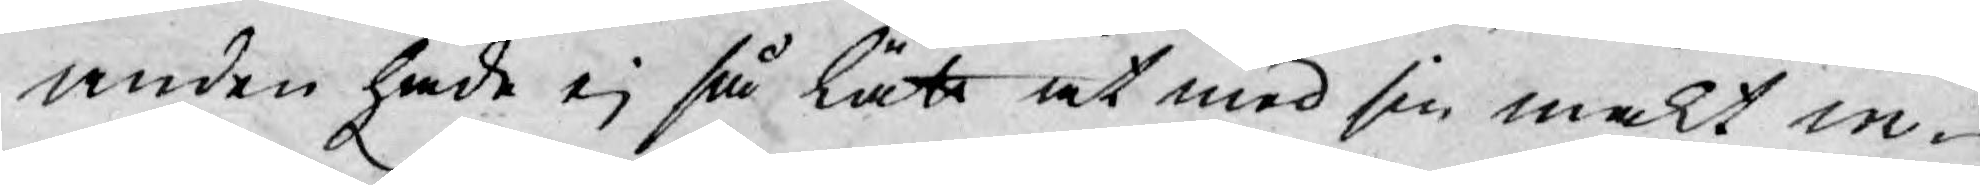anden hade ej så lätt at med sin makt in¬
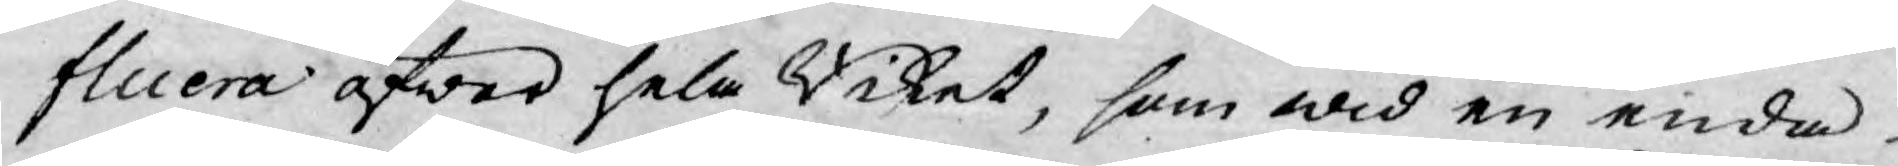fluera öfwer hela Riket, som wid en enda
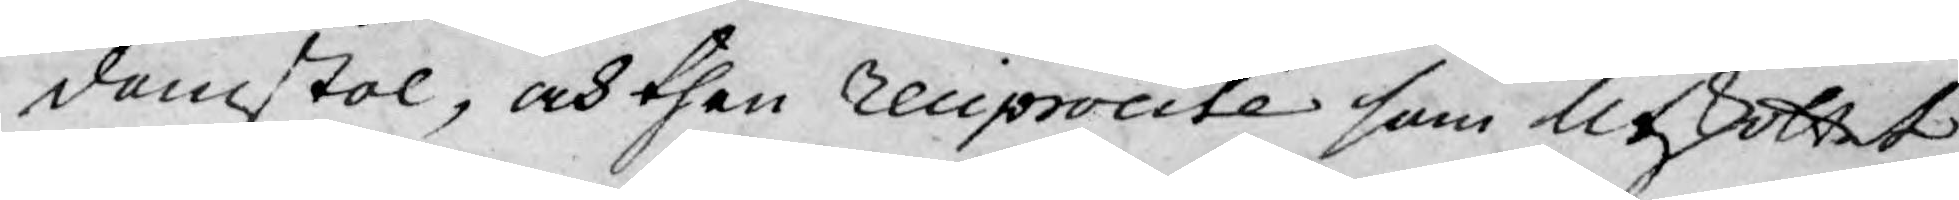domstol, och then reciprocité som Utskottet
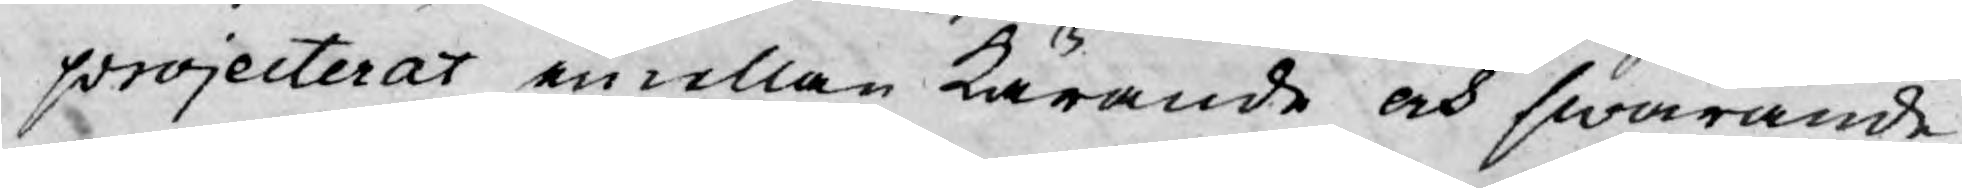projecterat emellan kärande och swarande
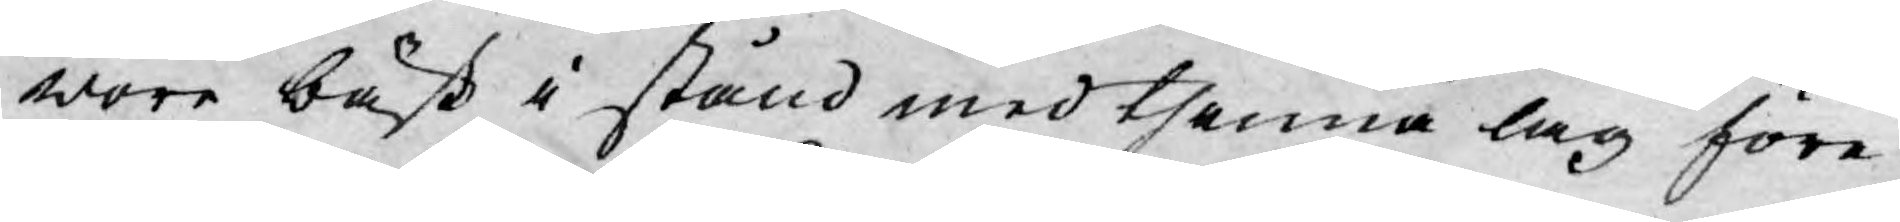wore bäst i stånd med thenna lag före¬
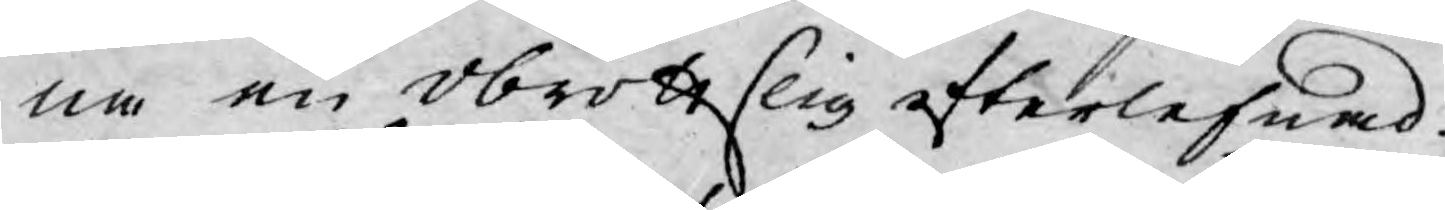na en obrottslig efterlefnad.
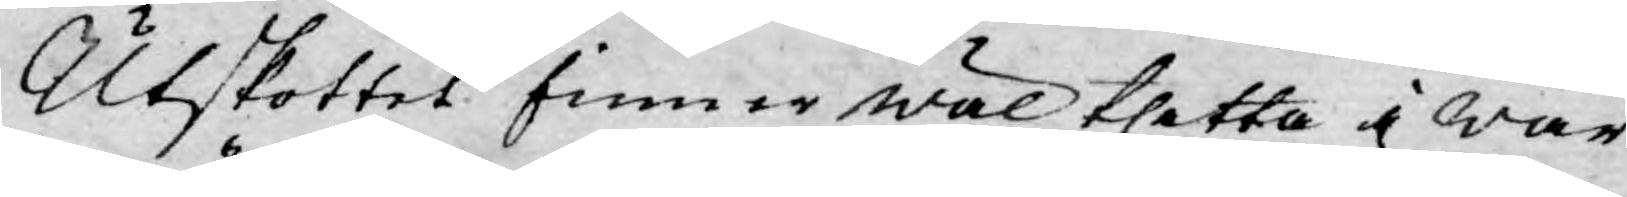Utskottet finner wäl thetta i wår
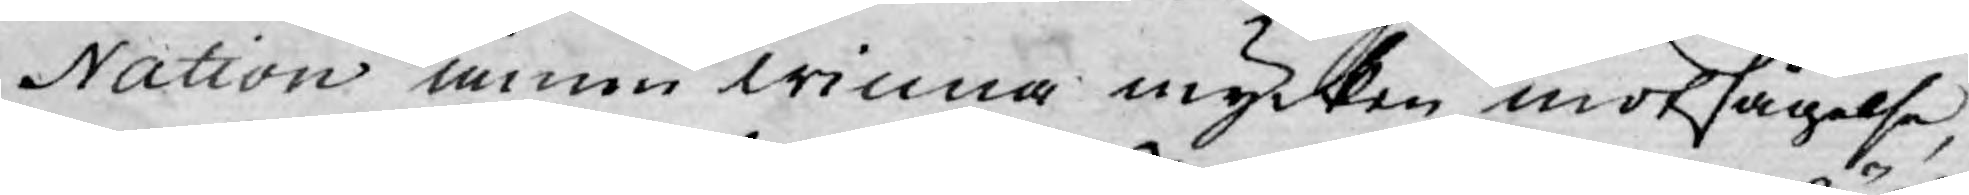Nation ännu winna mycken motsägelse,
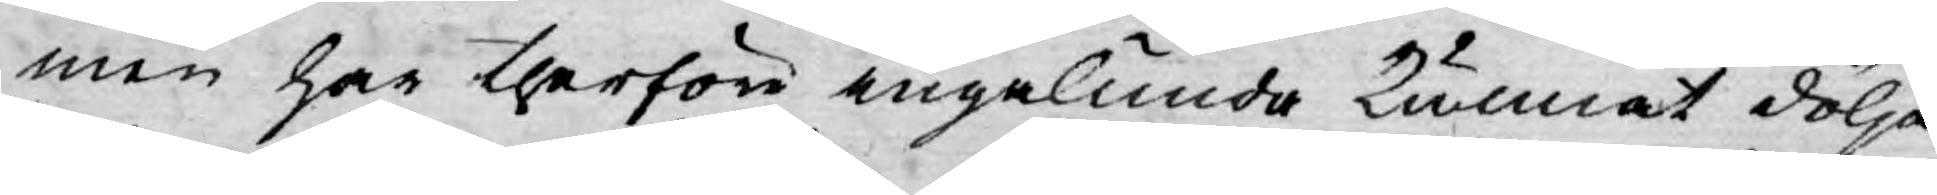men har therföre ingalunda kunnat dölja
